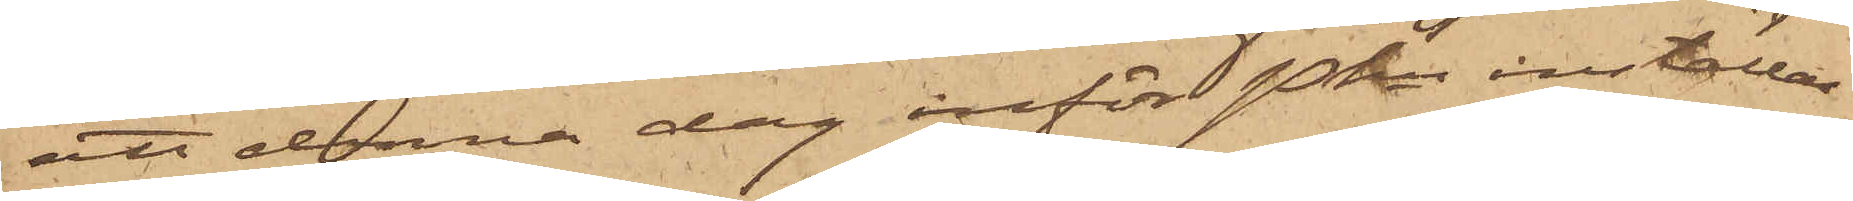att denna dag inför Pkn inställas.
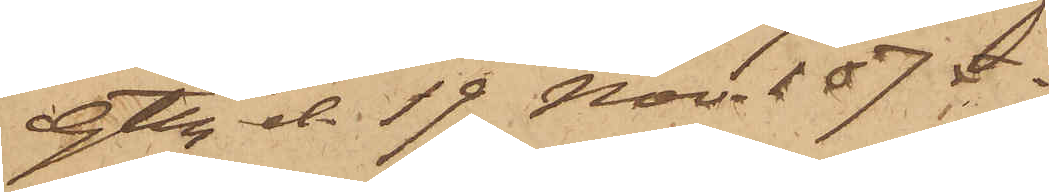Gtbg d. 19 Nov. 1875.
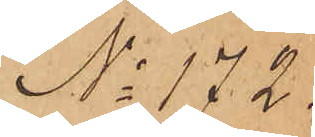No 172.
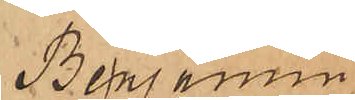Benjamin
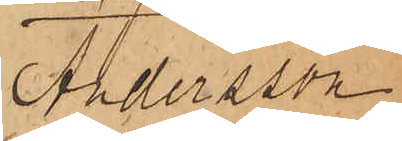Andersson
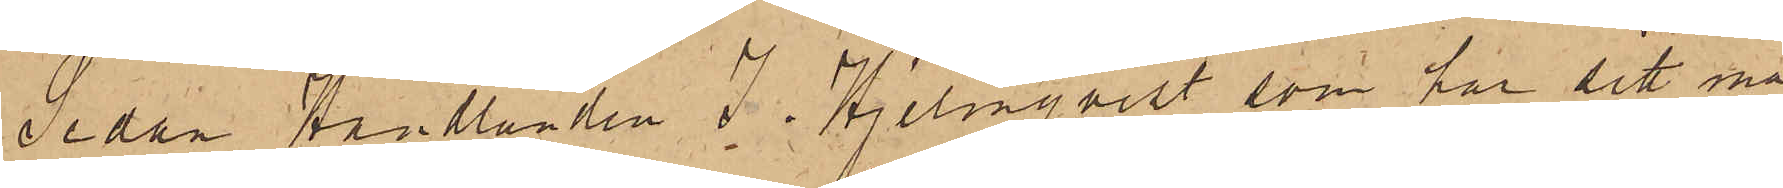Sedan Handlanden J. Hjelmqvist, som har sitt ma¬
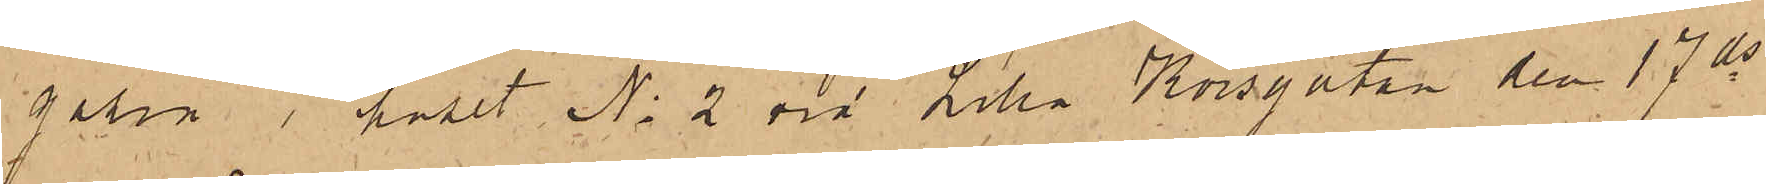gasin i huset No 2 vid Lilla Korsgatan den 17 ds
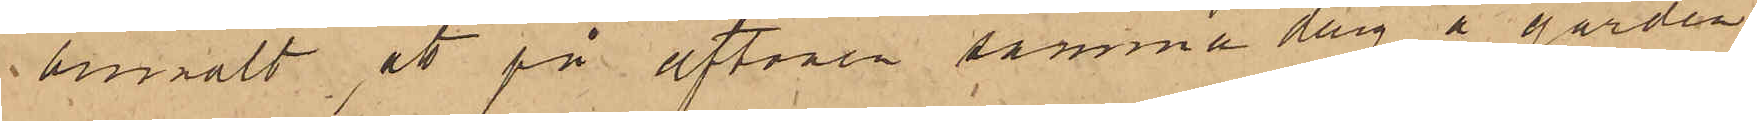bemält, att på aftonen samma dag å gården
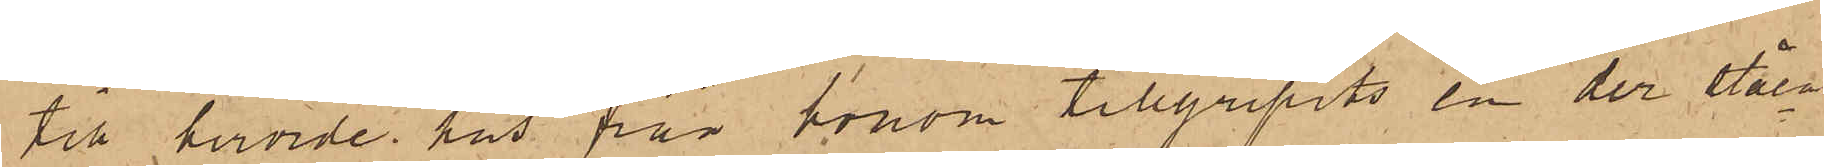till berörde hus från honom tillgripits en der ståen¬
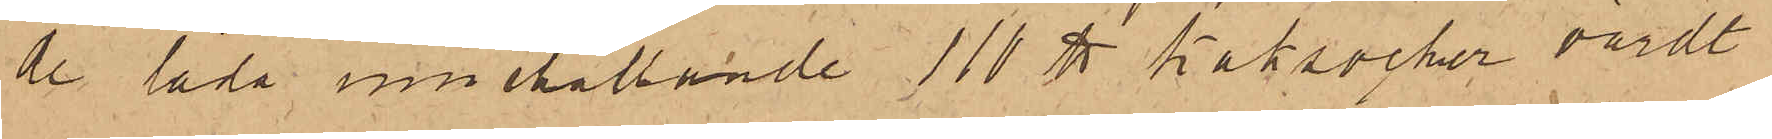de låda innehållande 110 ℔ kaksocker värdt
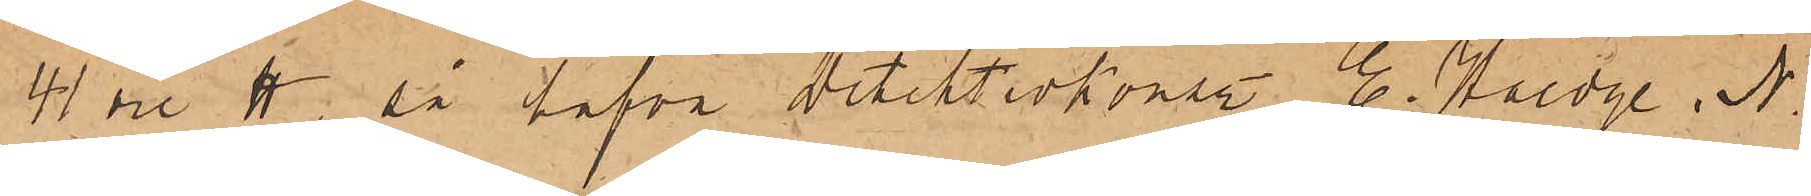41 öre ℔; så hafva detektivkonst. E. Haedge, N.
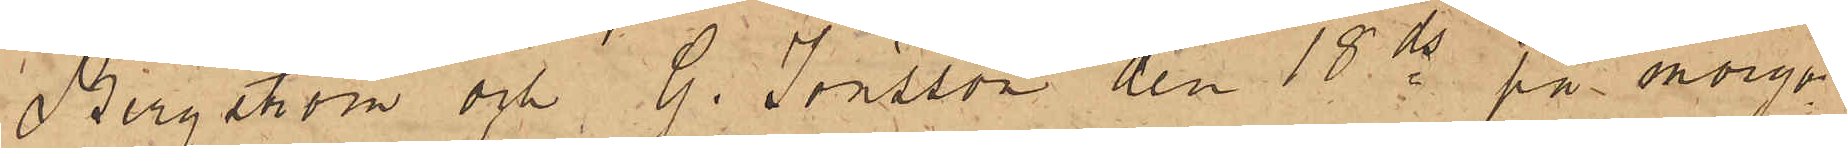Bergström och G. Jönsson den 18 ds på morgo¬
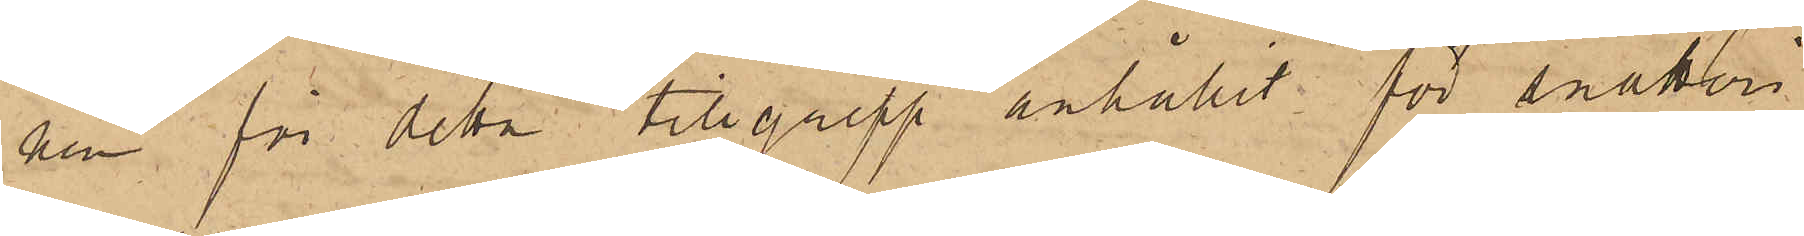nen för detta tillgrepp anhållit för snatteri
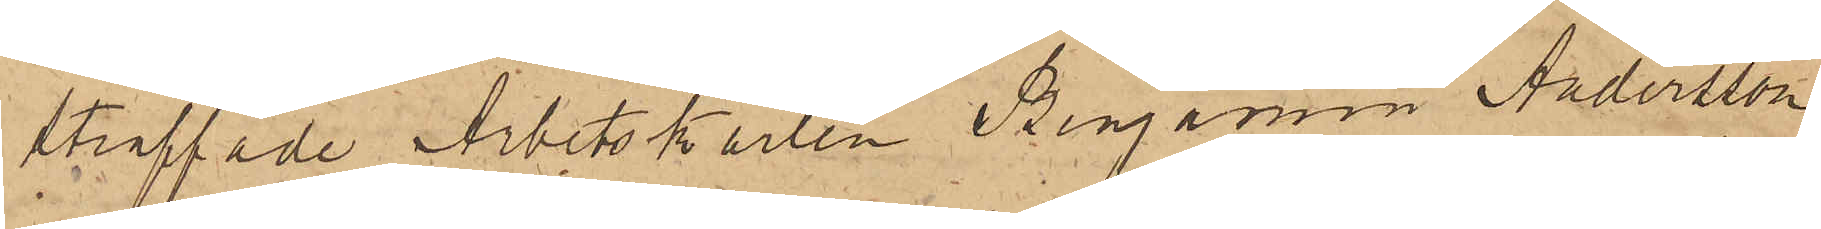straffade Arbetskarlen Benjamin Andersson,
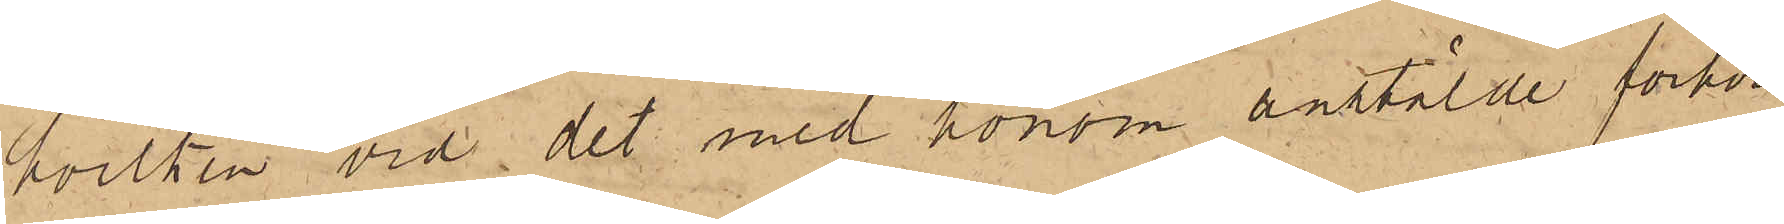hvilken vid det med honom anstälde förhör
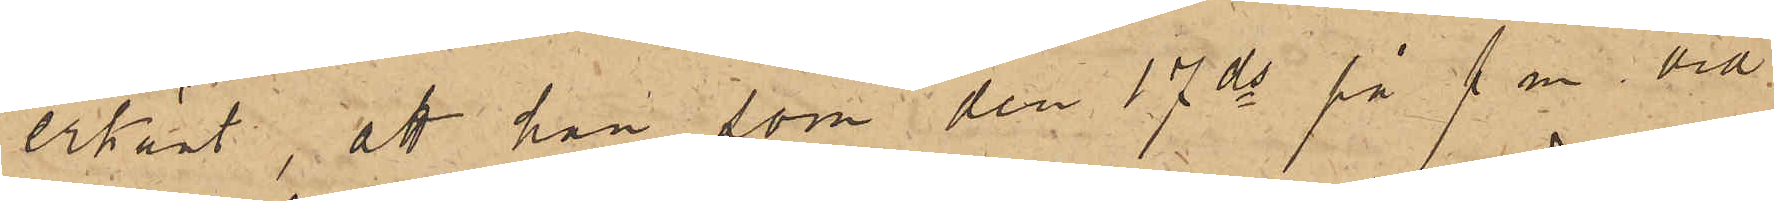erkänt, att han som den 17 ds på f m vid
